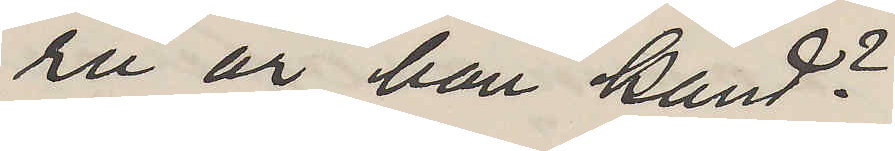ru ur han känd?
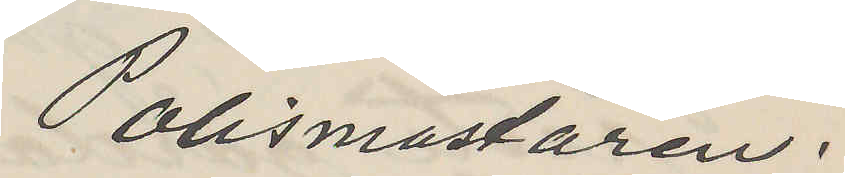Polismästaren.
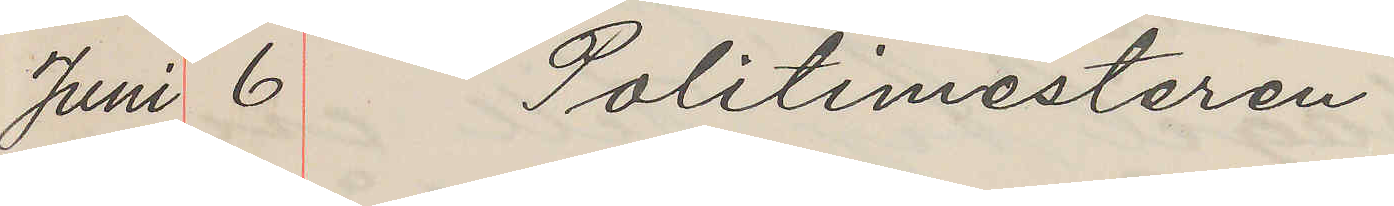Juni 6 Politimesteren
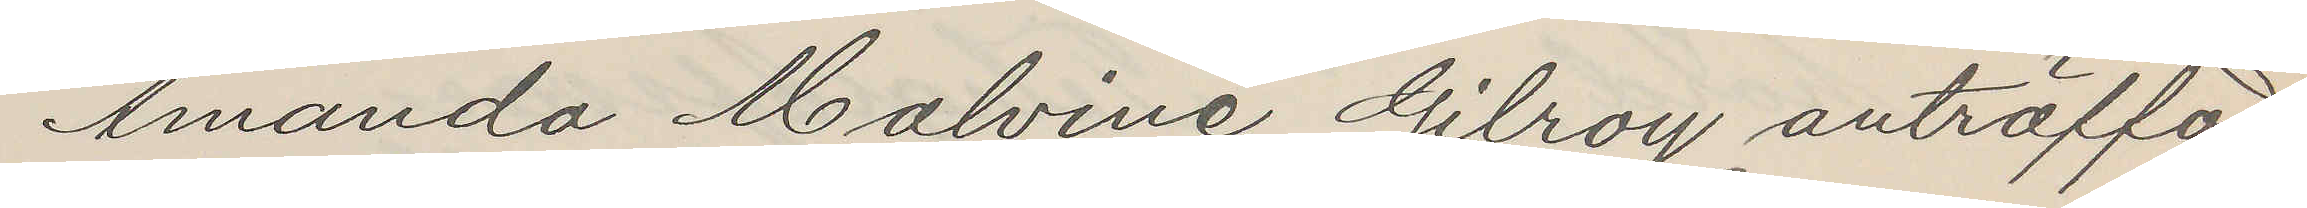Amanda Malvine Gilroy anträffad,
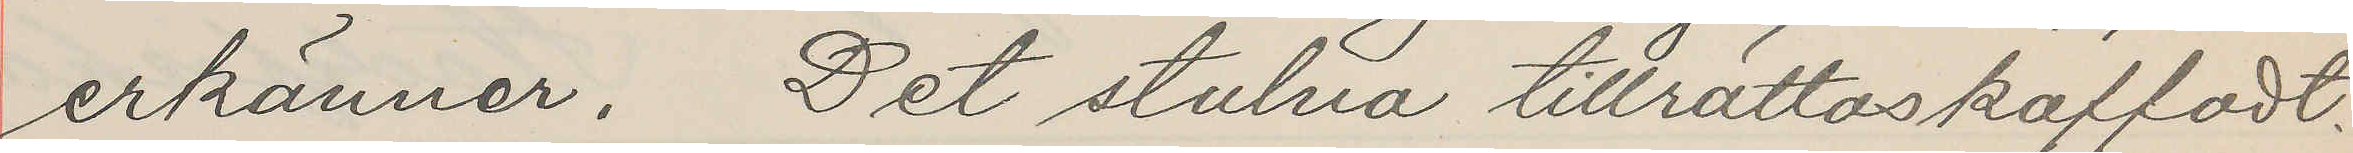erkänner. Det stulna tillrättaskaffadt.
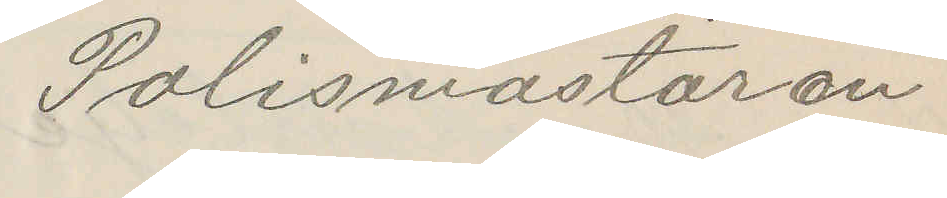Polismästaren
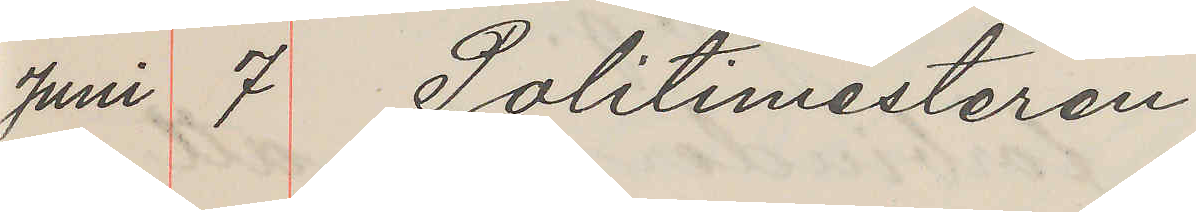Juni 7. Politimesteren
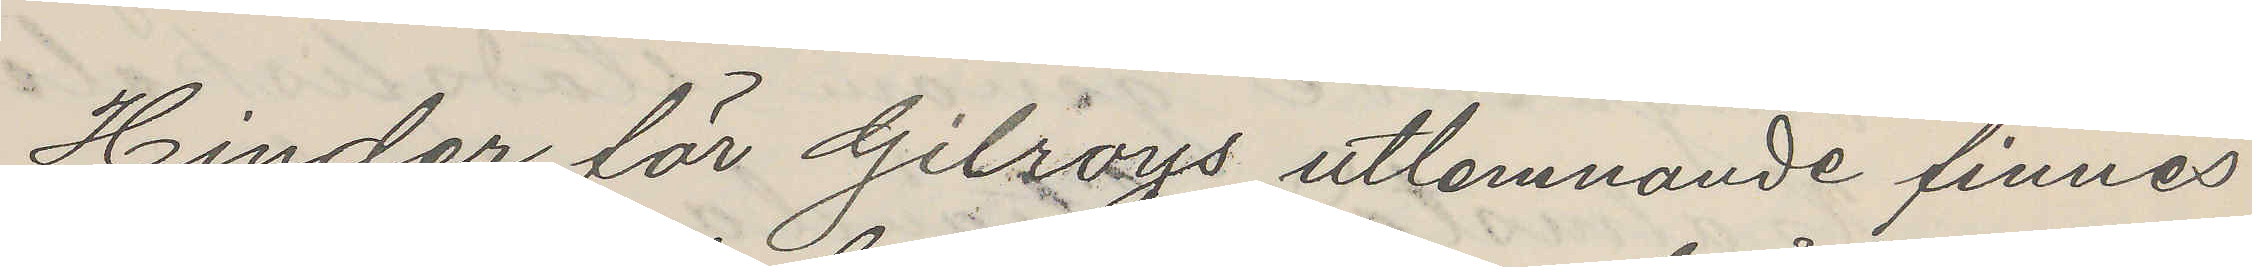Hinder för Gilroys utlemnande finnes
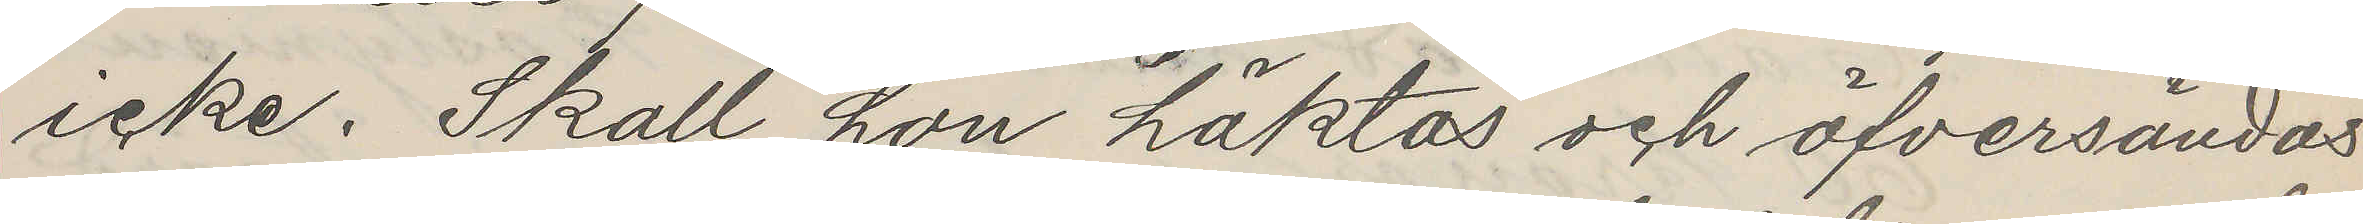icke. Skall hon häktas och öfversändas
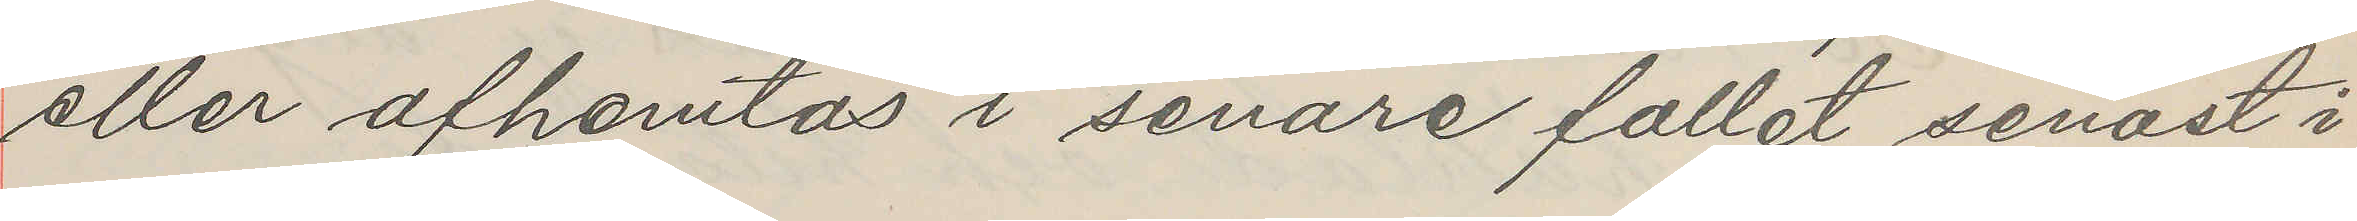eller afhemtas i senare fallet senast i
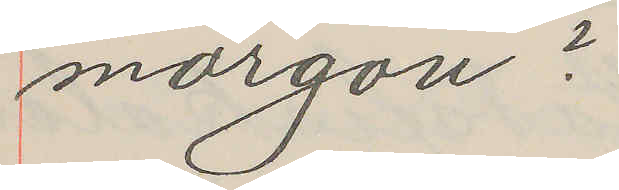morgon?
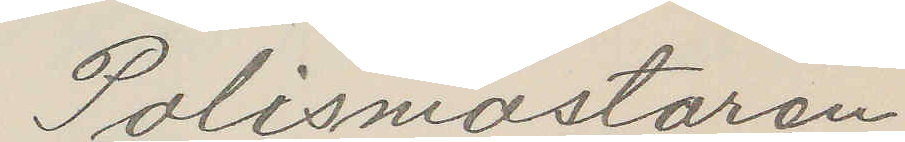Polismästaren
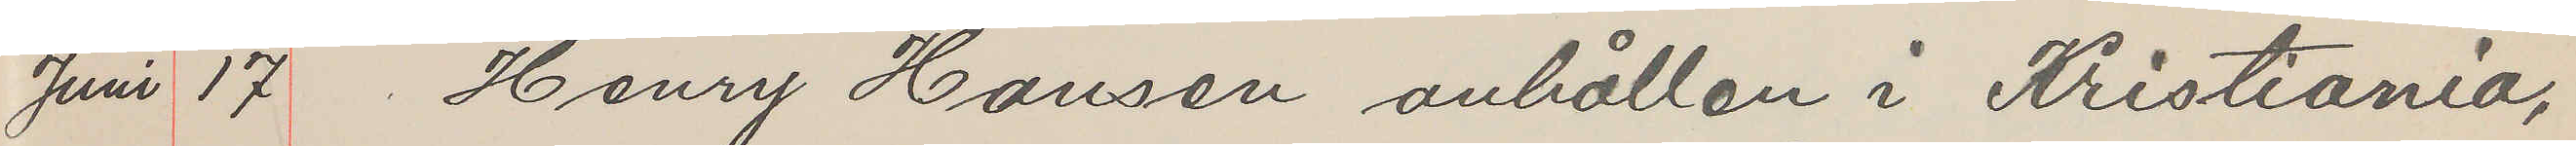Juni 17 Henry Hansen anhållen i Kristiania,
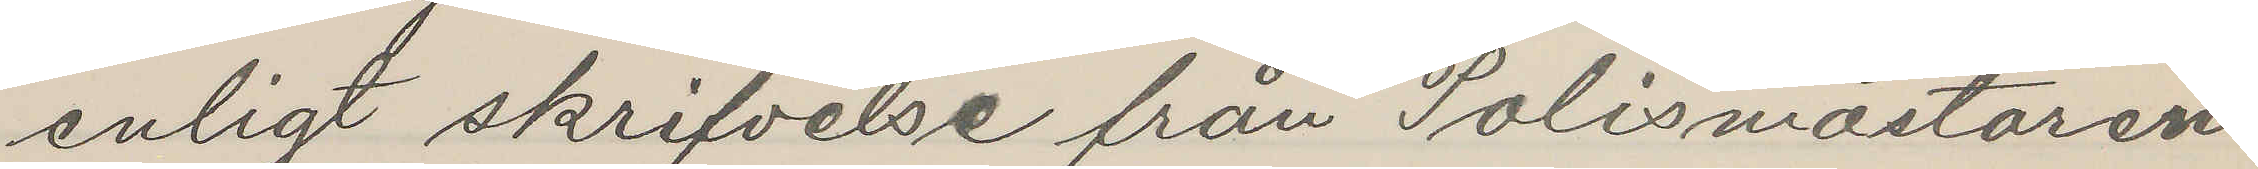enligt skrifvelse från Polismästaren
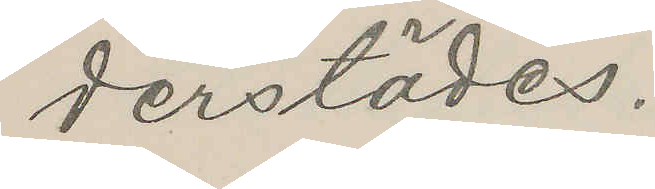derstädes.
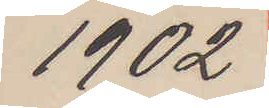1902
